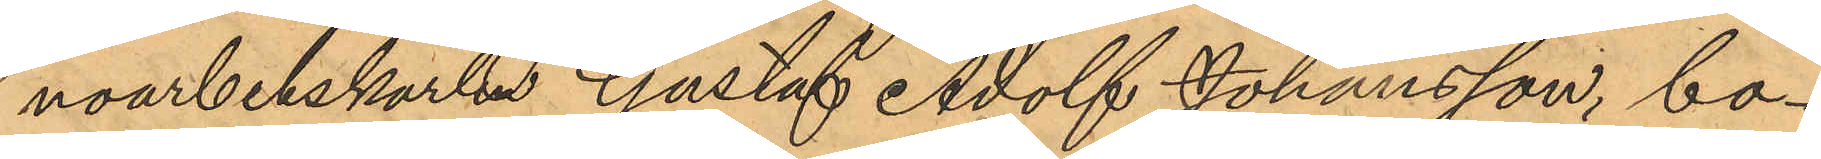noarbetskarlen Gustaf Adolf Johansson, bo¬
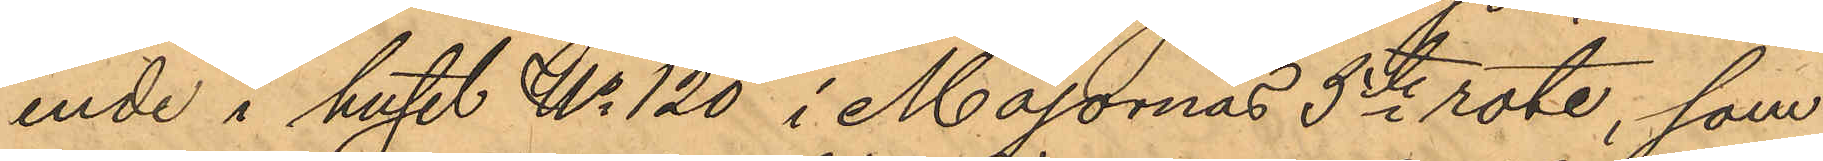ende i huset No 120 i Majornas 5te rote, som
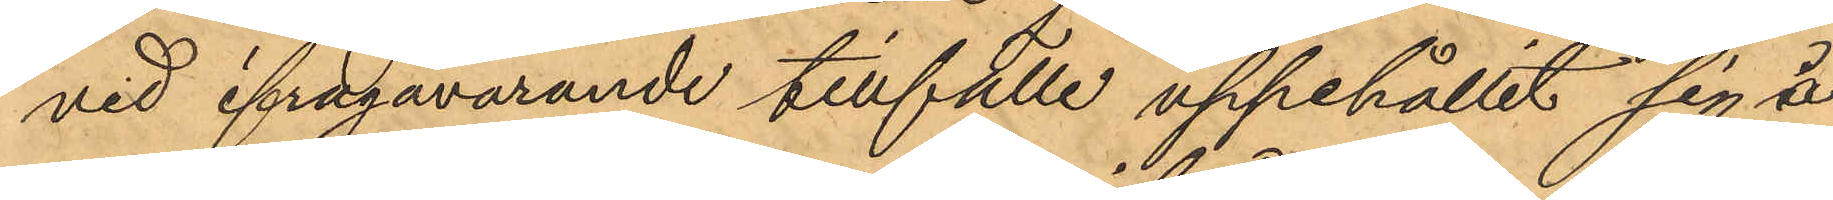vid ifrågavarande tillfälle uppehållit sig å
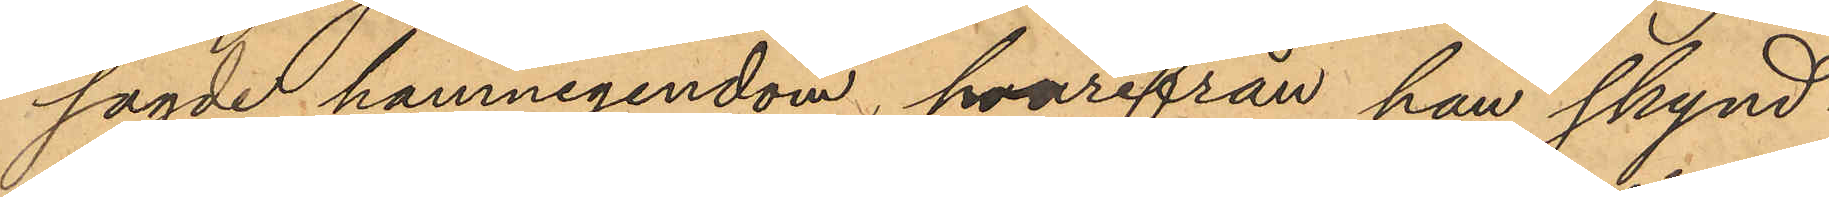sagde hamnegendom, hvarifrån han skynd¬
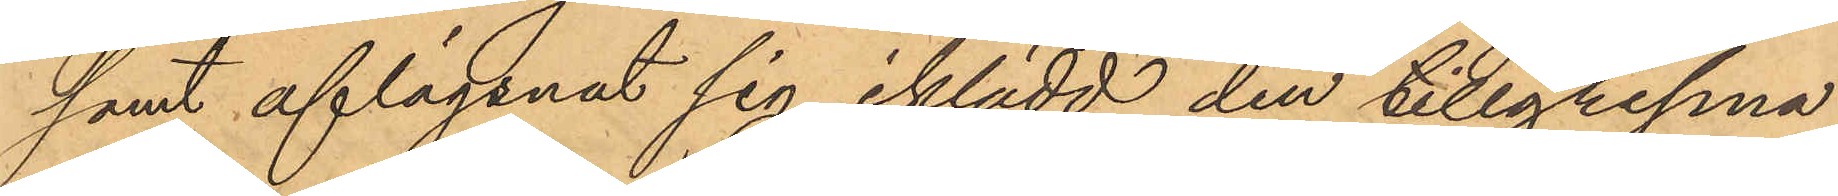samt aflägsnat sig, iklädd den tillgripna
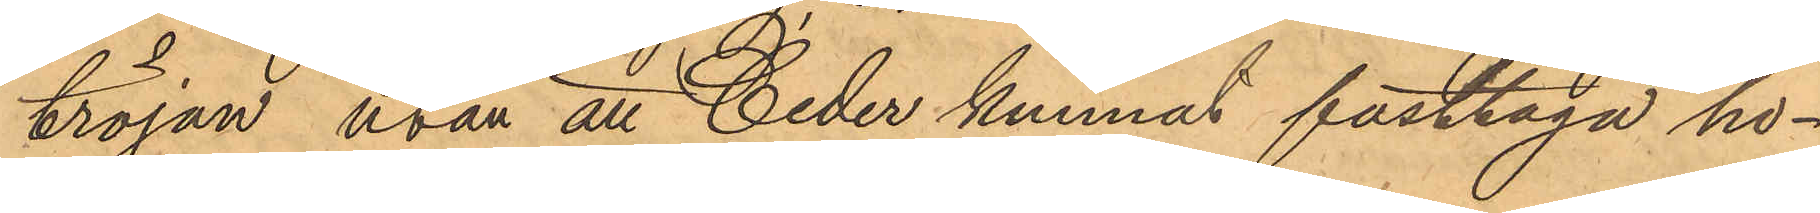tröjan utan att Ceder kunnat fasttaga ho¬
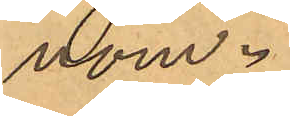nom.
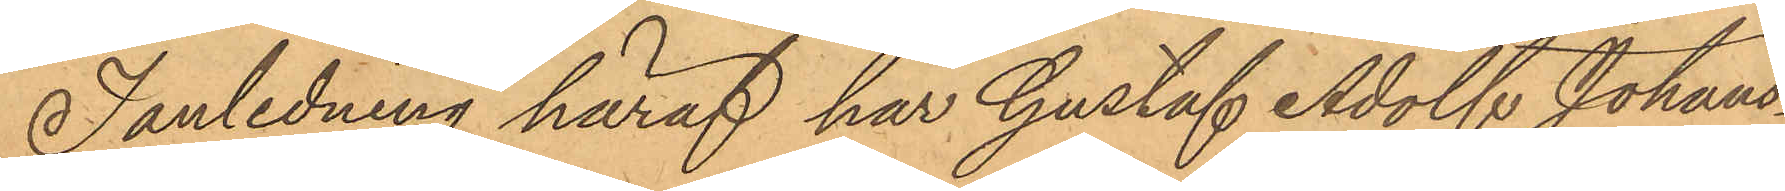I anledning häraf har Gustaf Adolf Johans¬
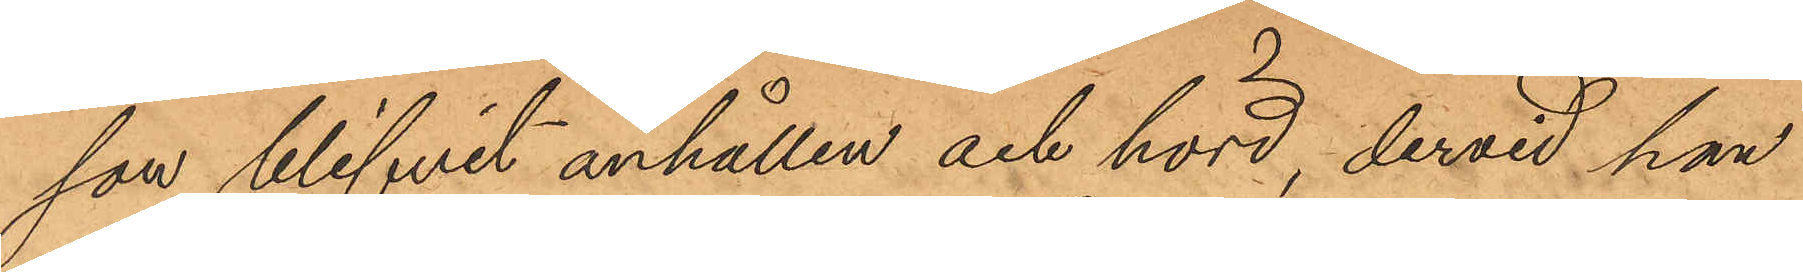son blifvit anhållen och hörd, dervid han
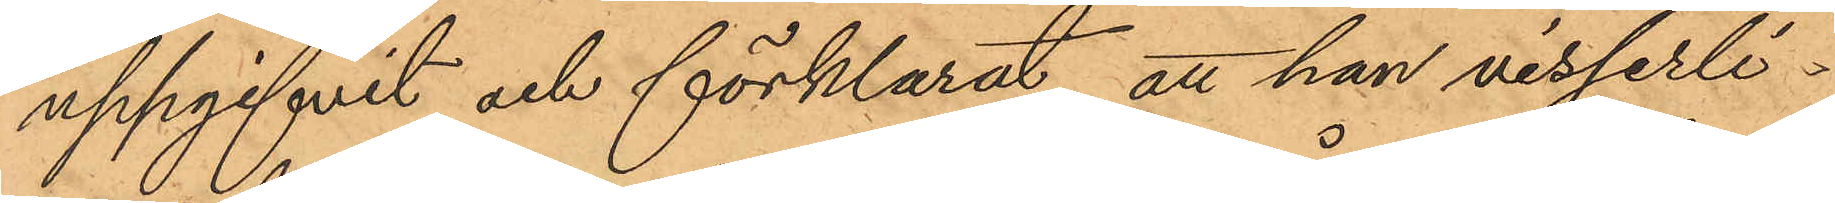uppgifvit och förklarat, att han visserli¬
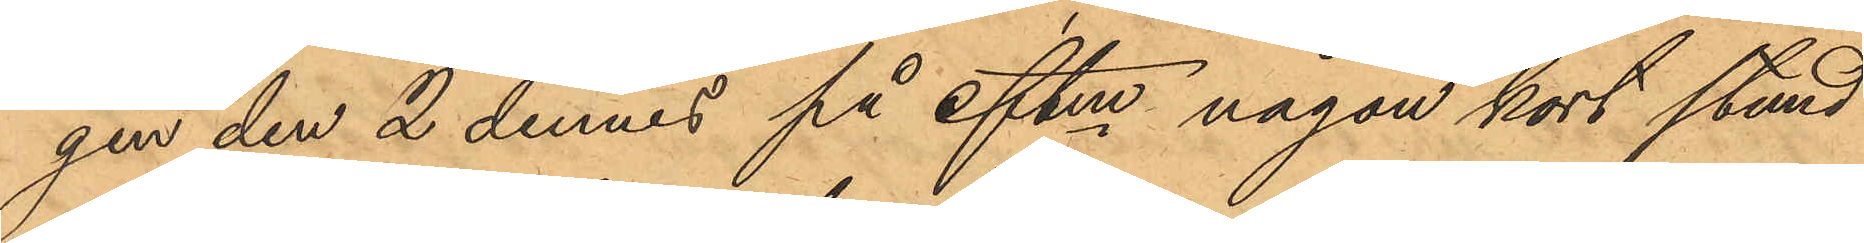gen den 2 dennes på eftm någon kort stund
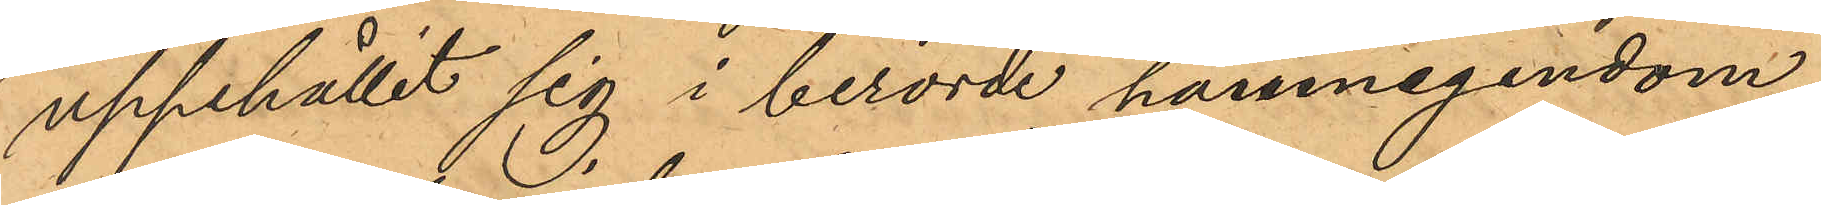uppehållit sig i berörde hamnegendom
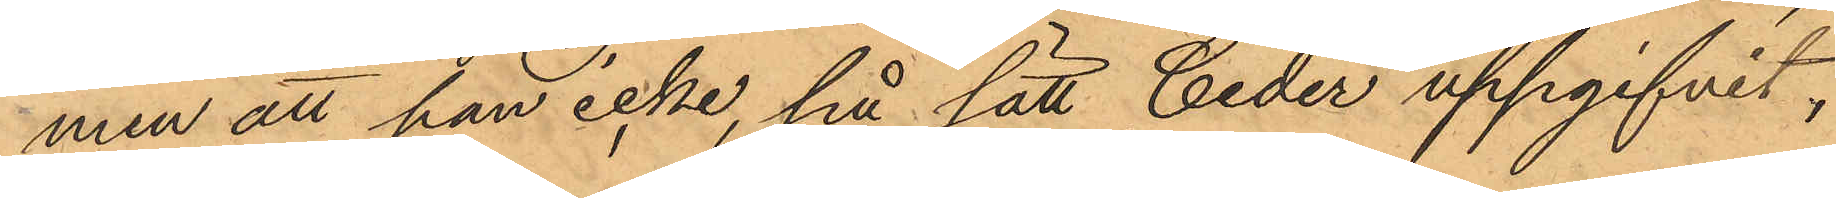men att han icke, på sätt Ceder uppgifvit,
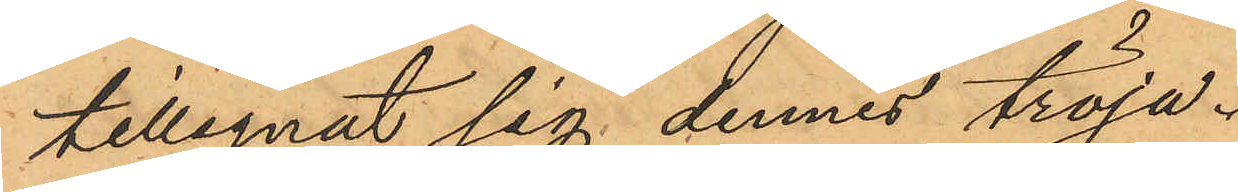tillegnat sig dennes tröja.
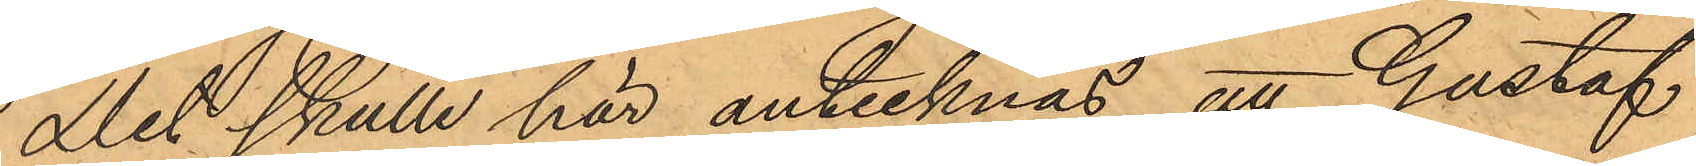Det skulle här antecknas att Gustaf
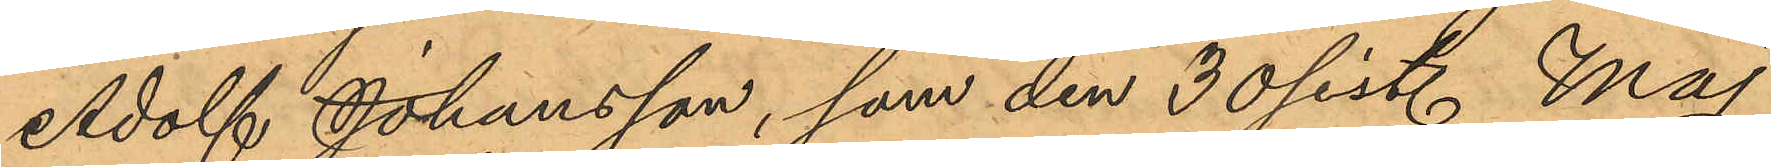Adolf Johansson, som den 30 sist. Maj
